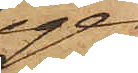igen¬
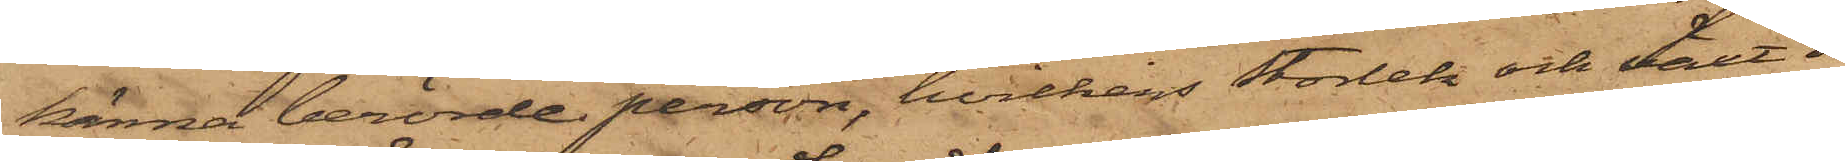känna berörde person, hvilkens storlek och växt dock
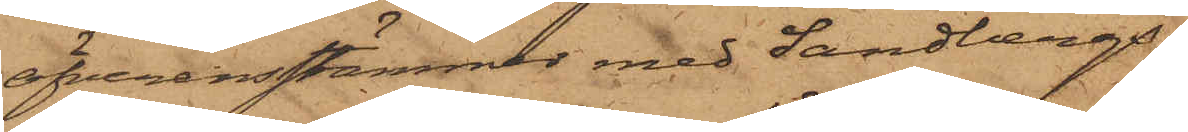öfverensstämmer med Sandbergs.
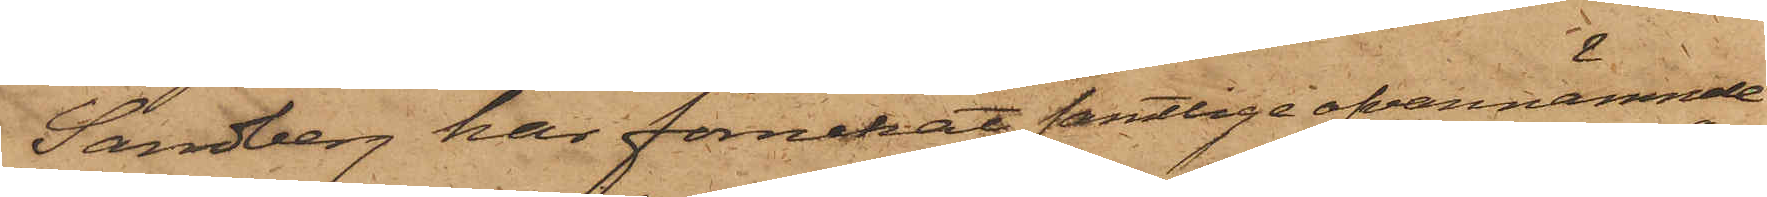Sandberg har förnekat samtlige ofvannämnde till¬
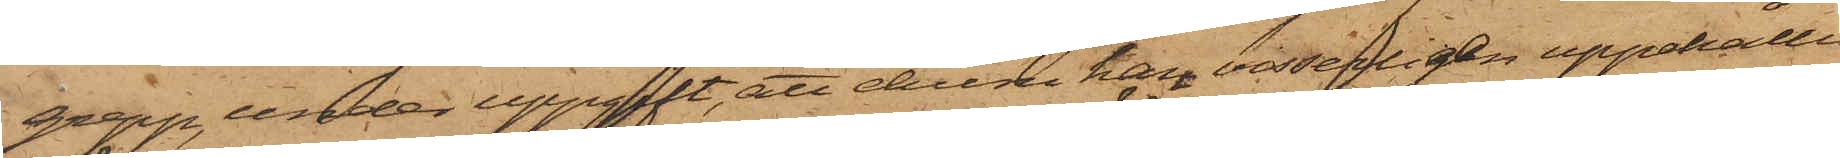grepp, under uppgift, att ehuru han visserligen uppehållit
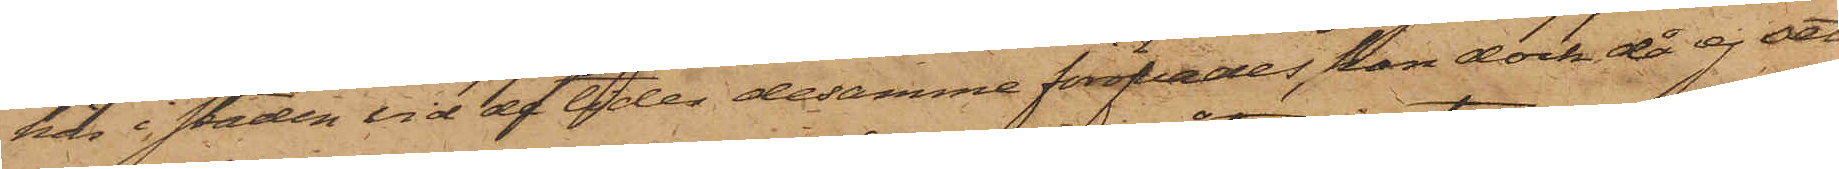här i staden vid de tider desamme föröfvades, han dock då ej sett
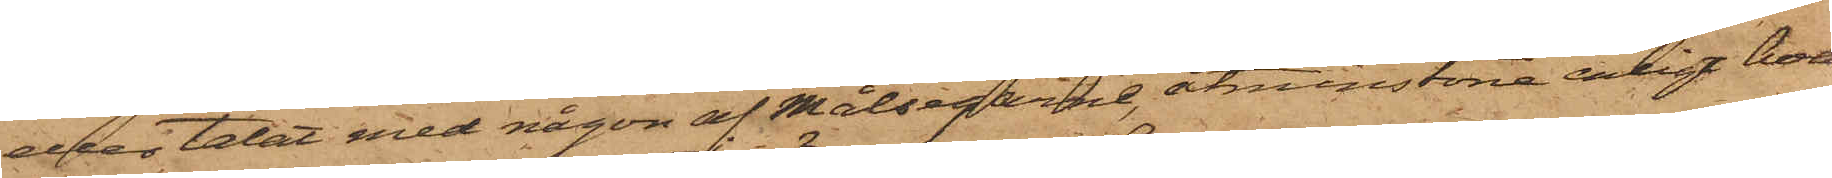eller talat med någon af Målsegarne, åtminstone enligt hvad
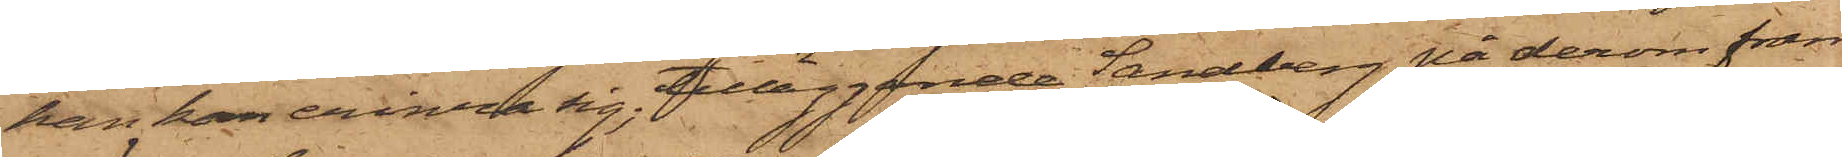han kan erinra sig; tilläggande Sandberg på derom fram¬
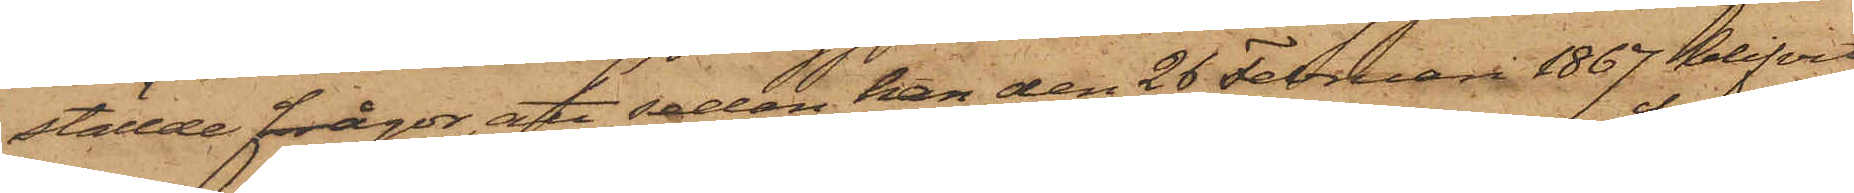ställde frågor, att sedan han den 26 Februari 1867 blifvit
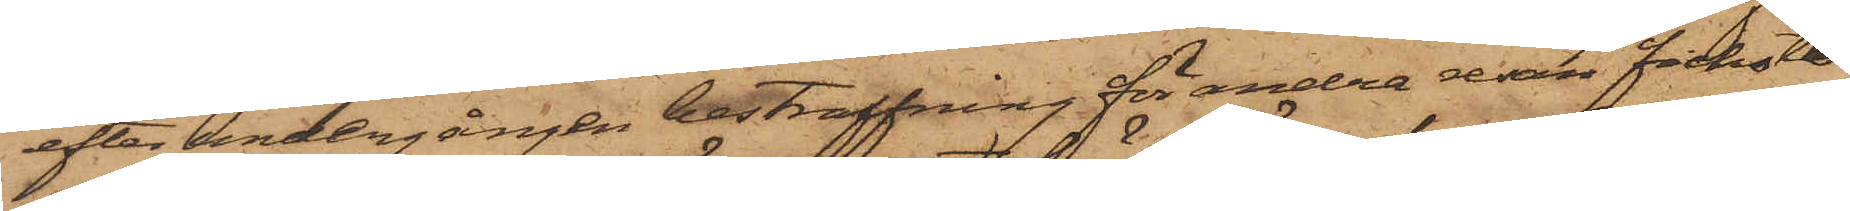efter undergången bestraffning för andra resan fickstöld
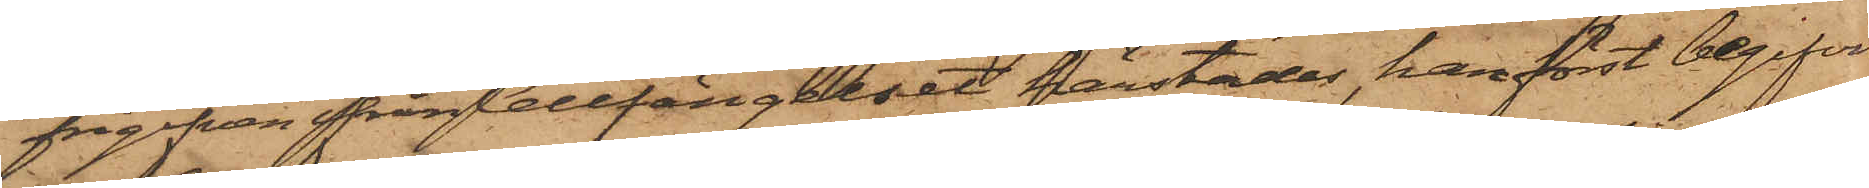frigifven ifrån Cellfängelset härstädes, han först begifvit
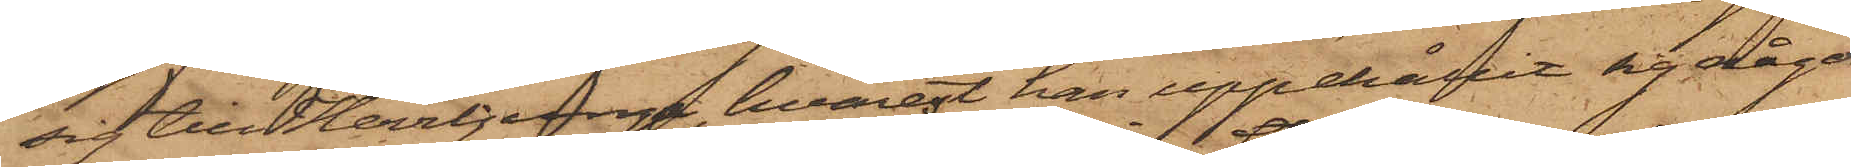sig till Herrljunga, hvarest han uppehållit sig någon
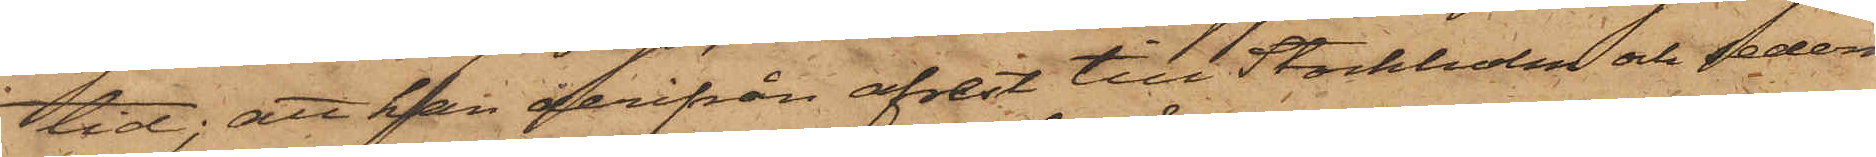tid; att han derifrån afrest till Stockholm och sederme¬
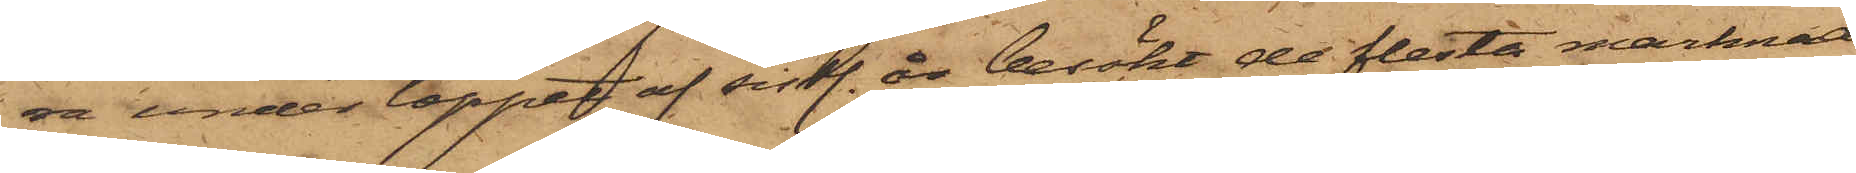ra under loppet af sistl. år besökt de flesta marknader
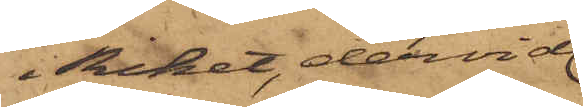i Riket, dervid
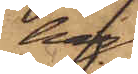han
